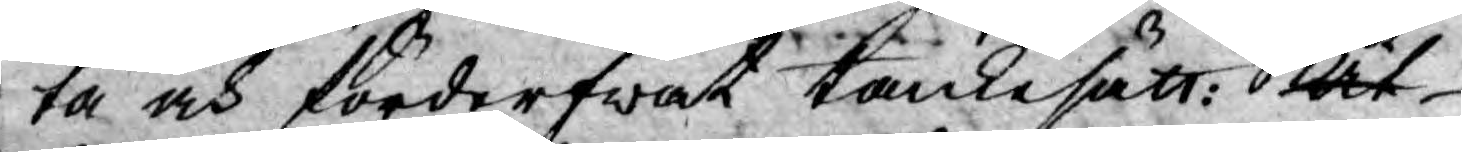ta och förderfwat tankesätt: at
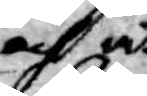och at
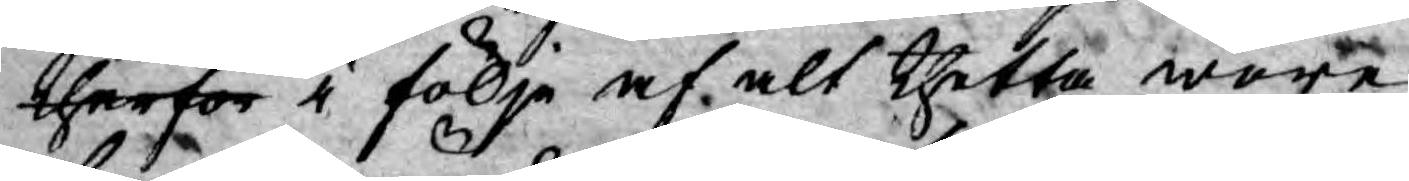therför i följe af alt thetta wore
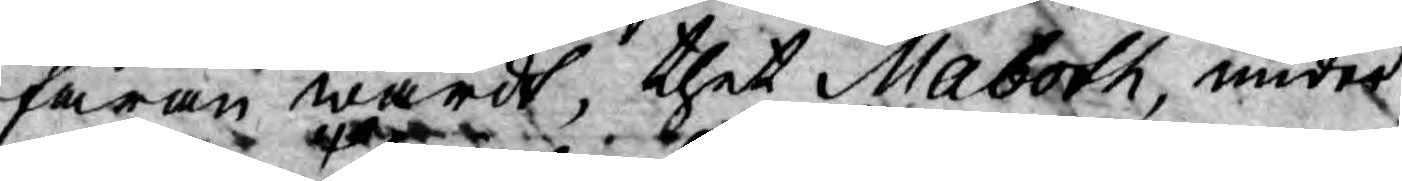faran wärdt, thet Maboth, under
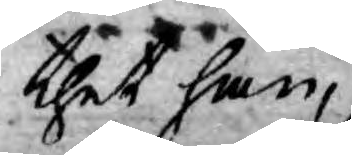thet han,
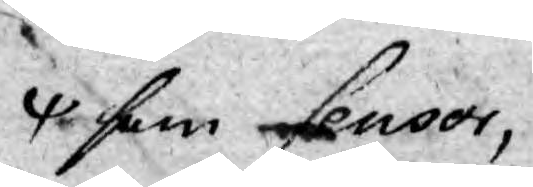som Censor,
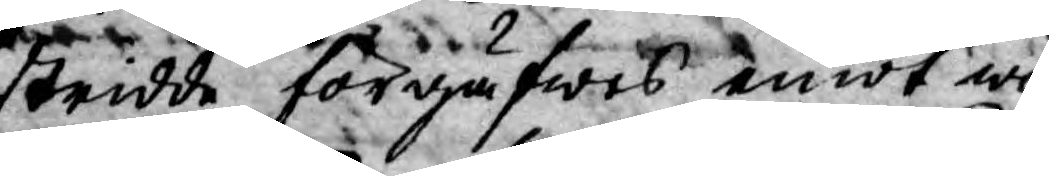stridde förgäfwes emot will¬
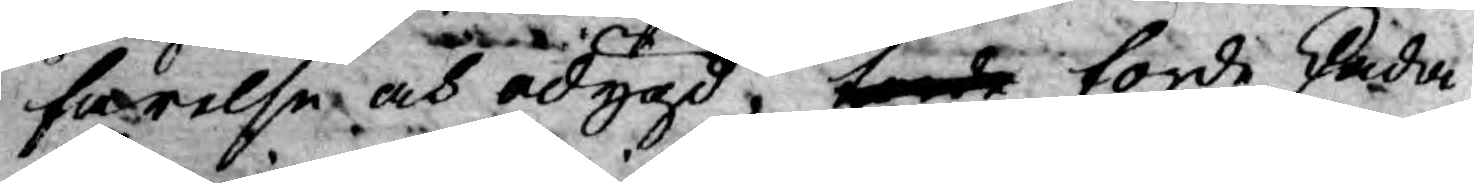farelse och odygd, torde torde skada
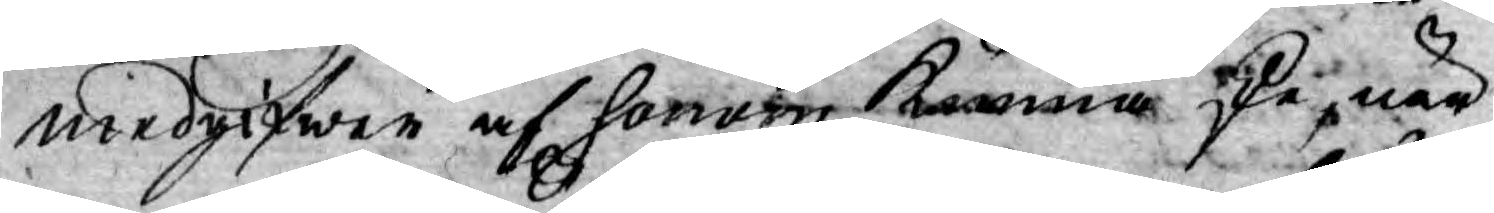medgifwer af honom kunna ske, när
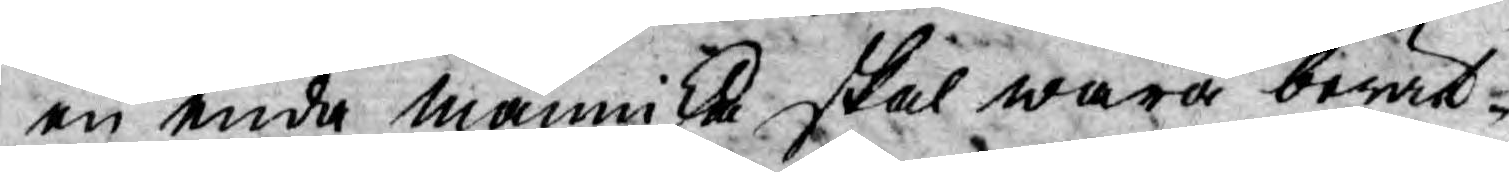en enda människa skal wara berät¬
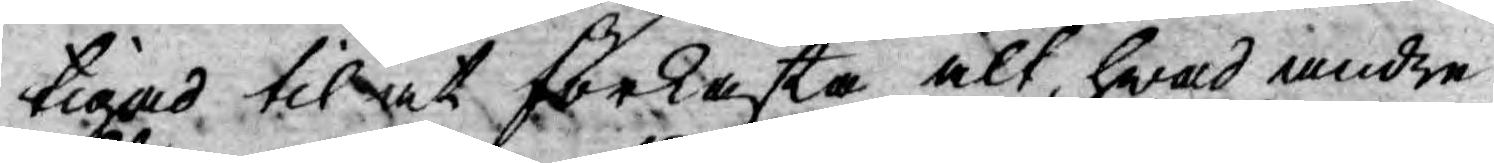tigad til at förkasta alt, hwad andra
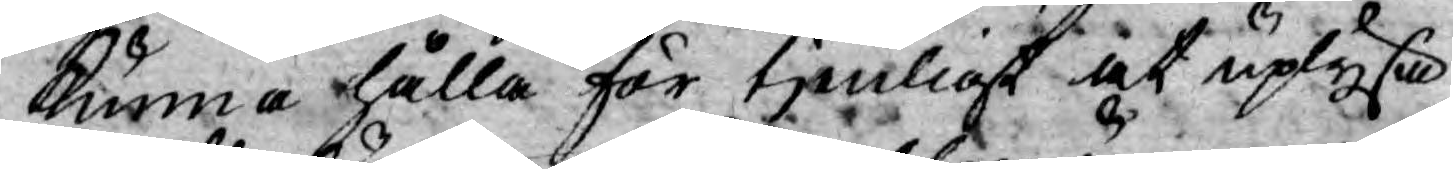kunna hålla för tjenligt at uplysa
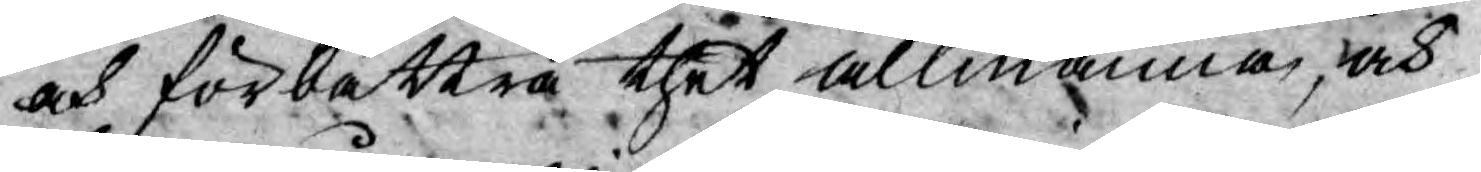och förbättra thet allmänna, och
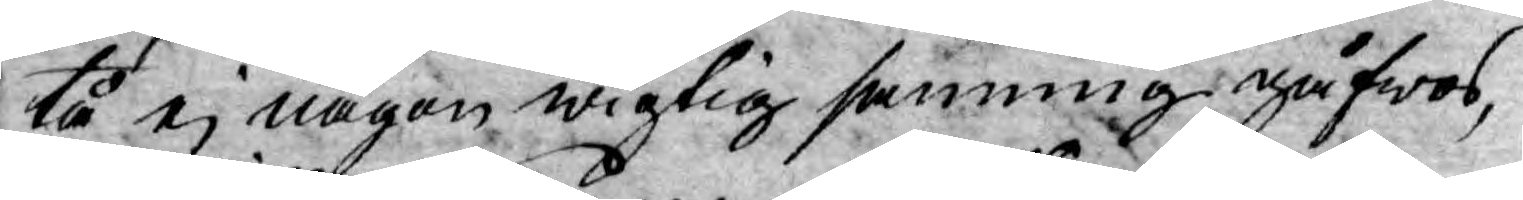tå ej någon wigtig sanning gåfwos,
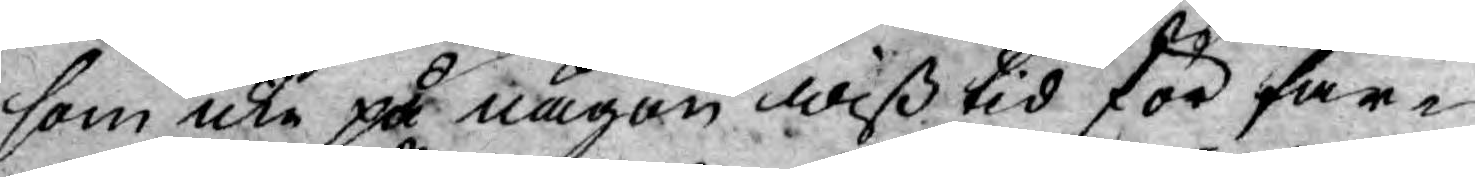som icke på någon wiß tid för far¬
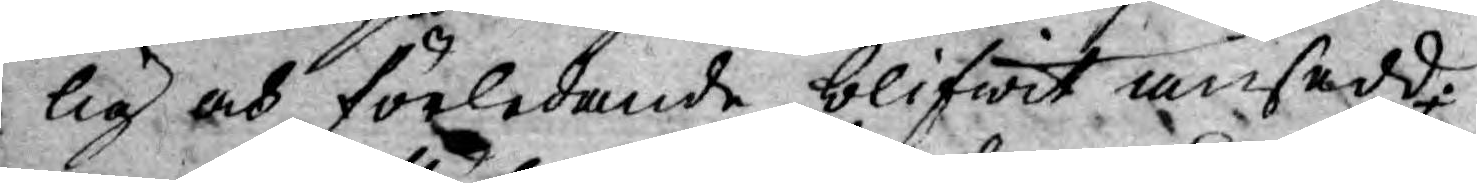lig och förledande blifwit ansedd;
